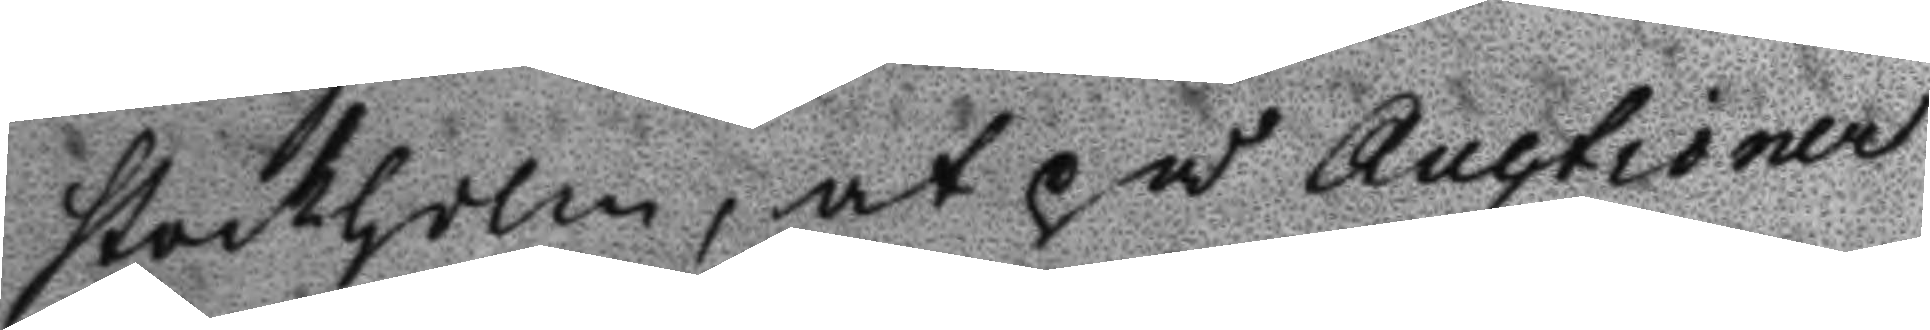Stockholm, at på Auctioner
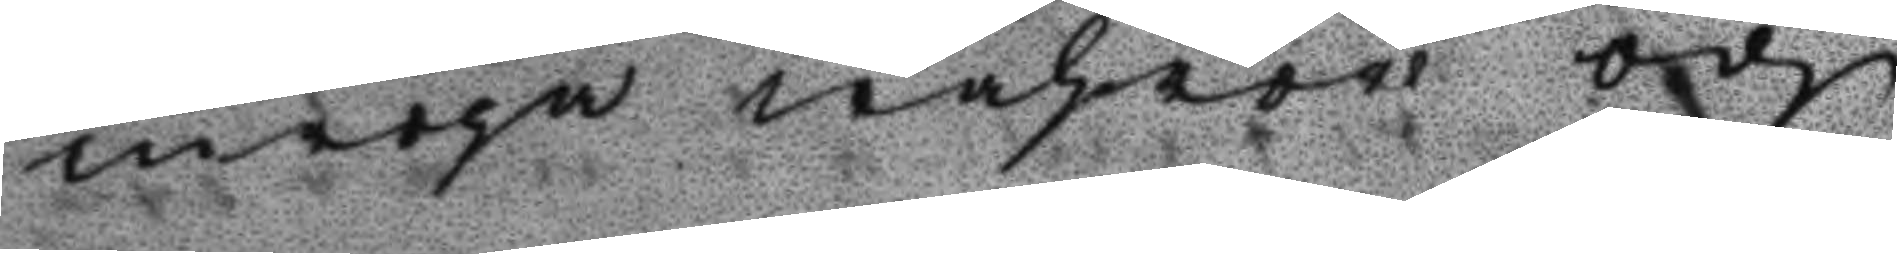inropa wahror och
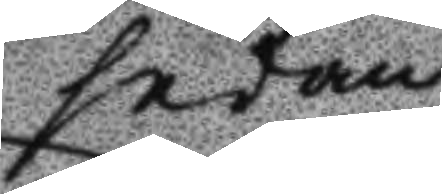sedan
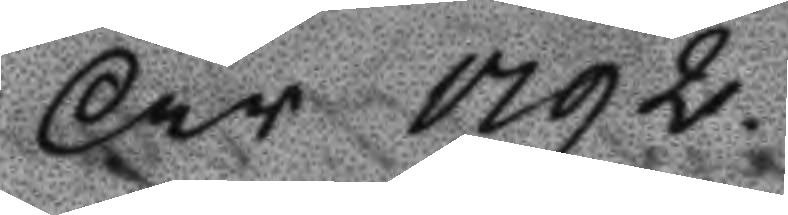År 1792.
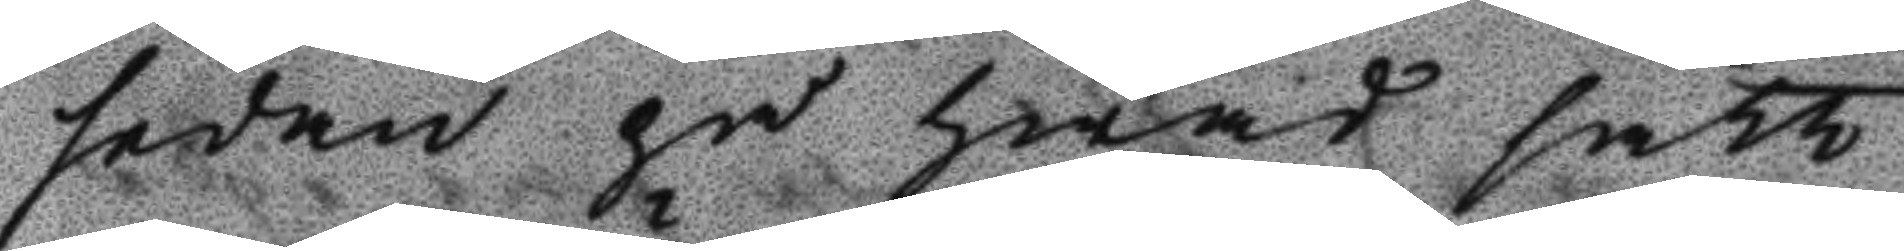sedan på hwad sätt
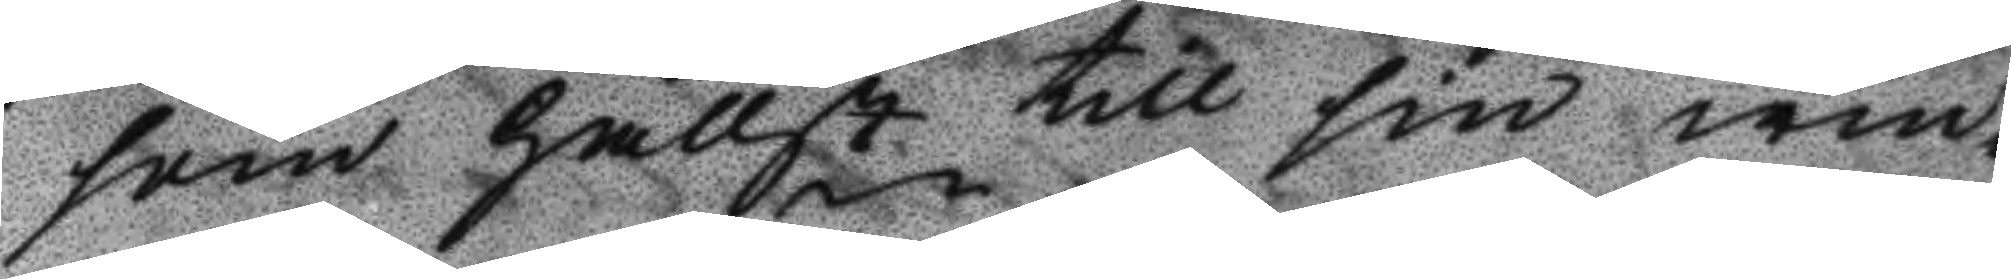som hällst till sin win¬
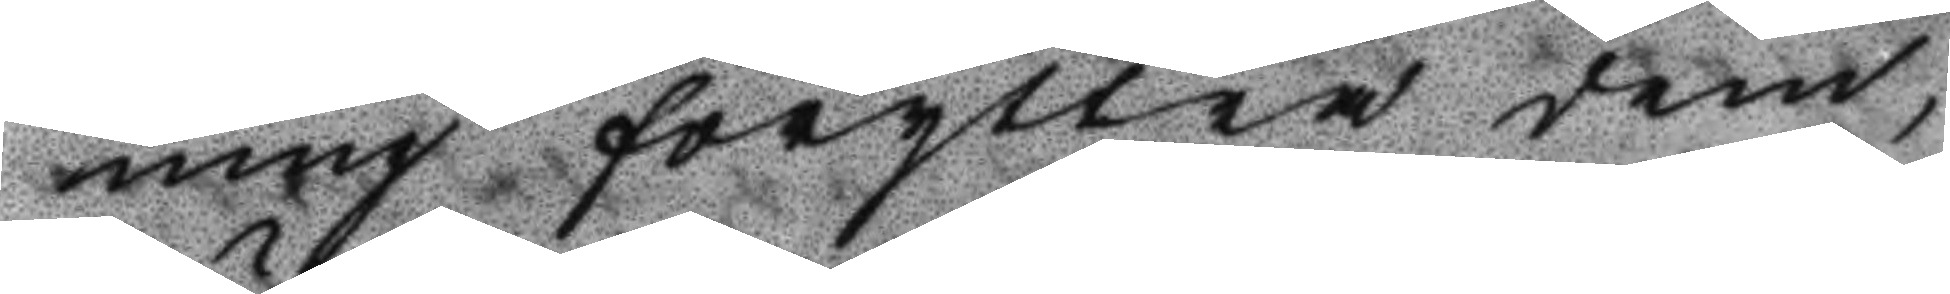ning föryttra dem;
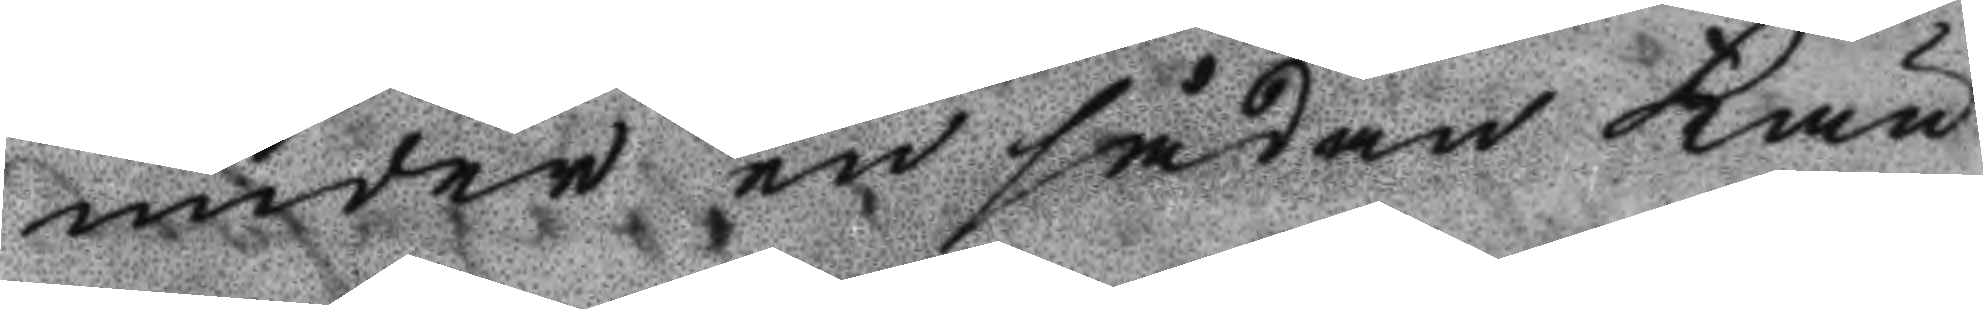under en sådan Kän¬
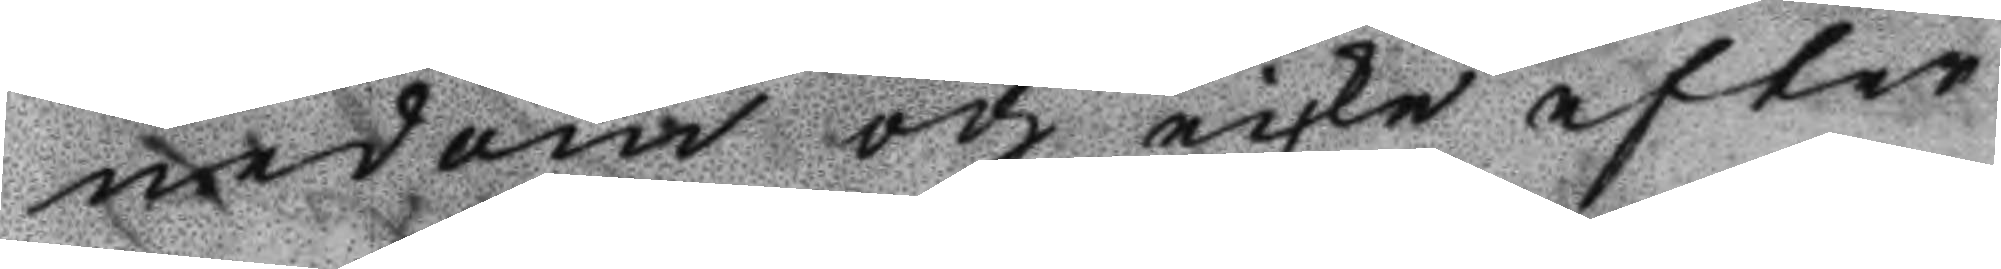nedom och icke efter
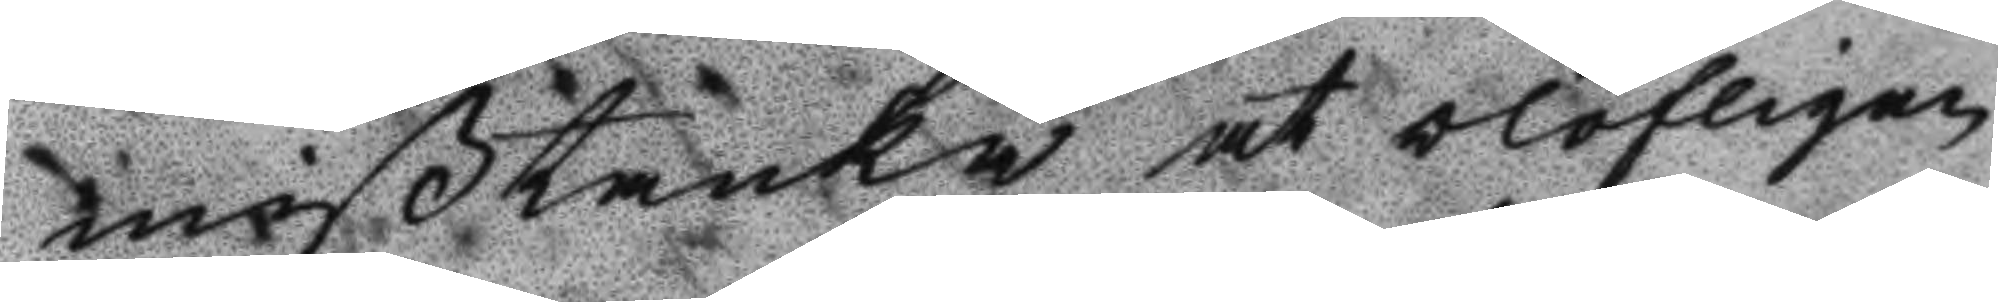mißtanka at olofligen
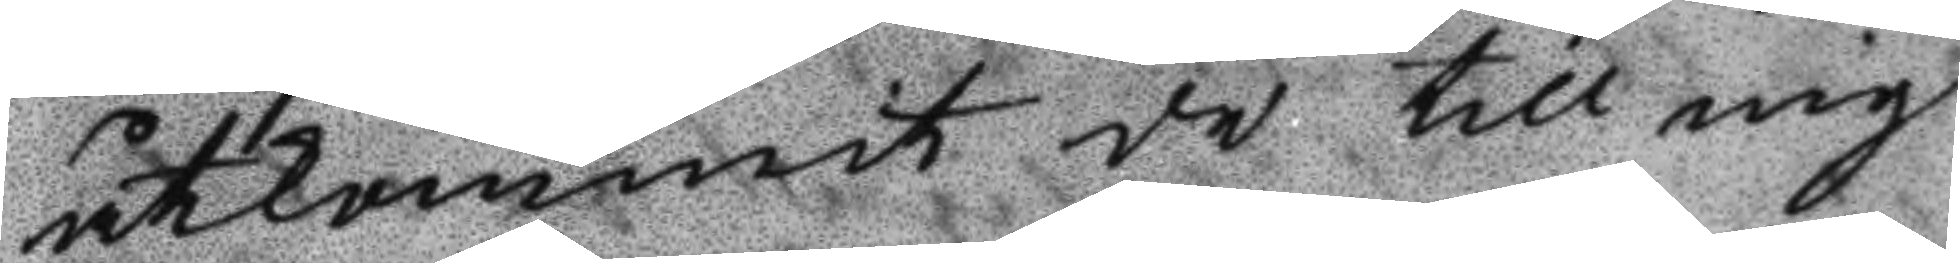åtkommit de till mig
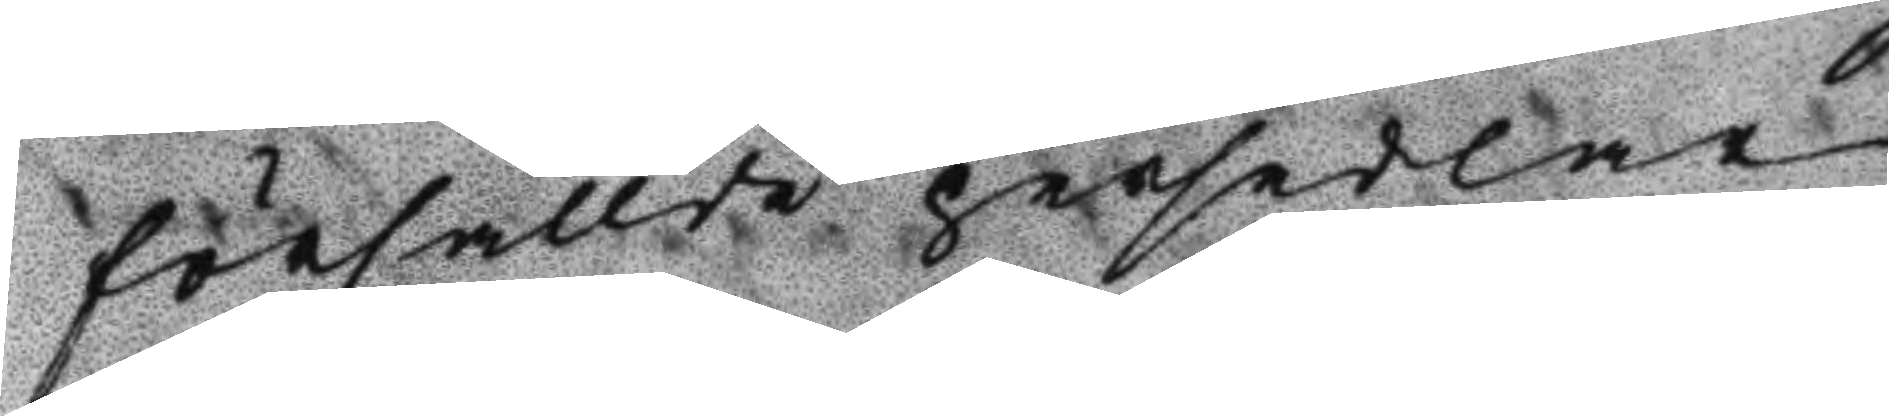försållde persedlar
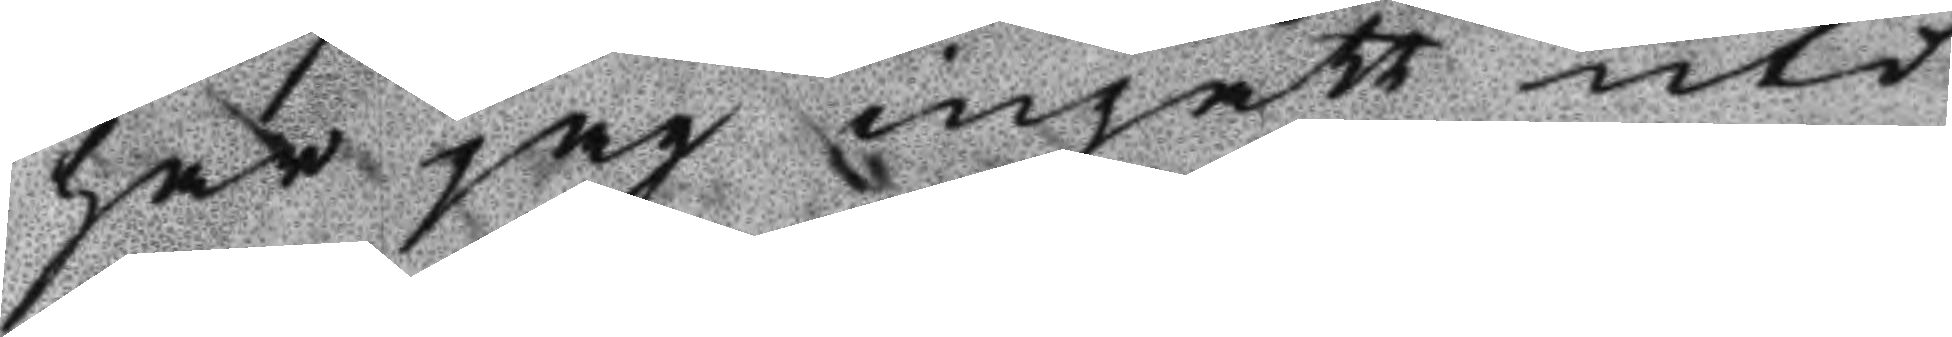har jag ingått uti
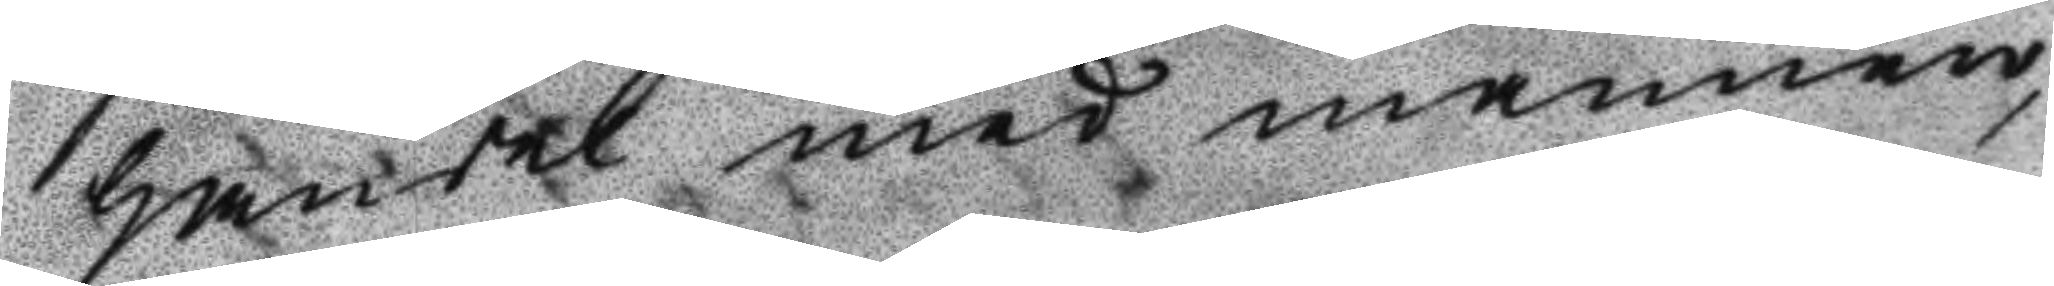handel med mannen,
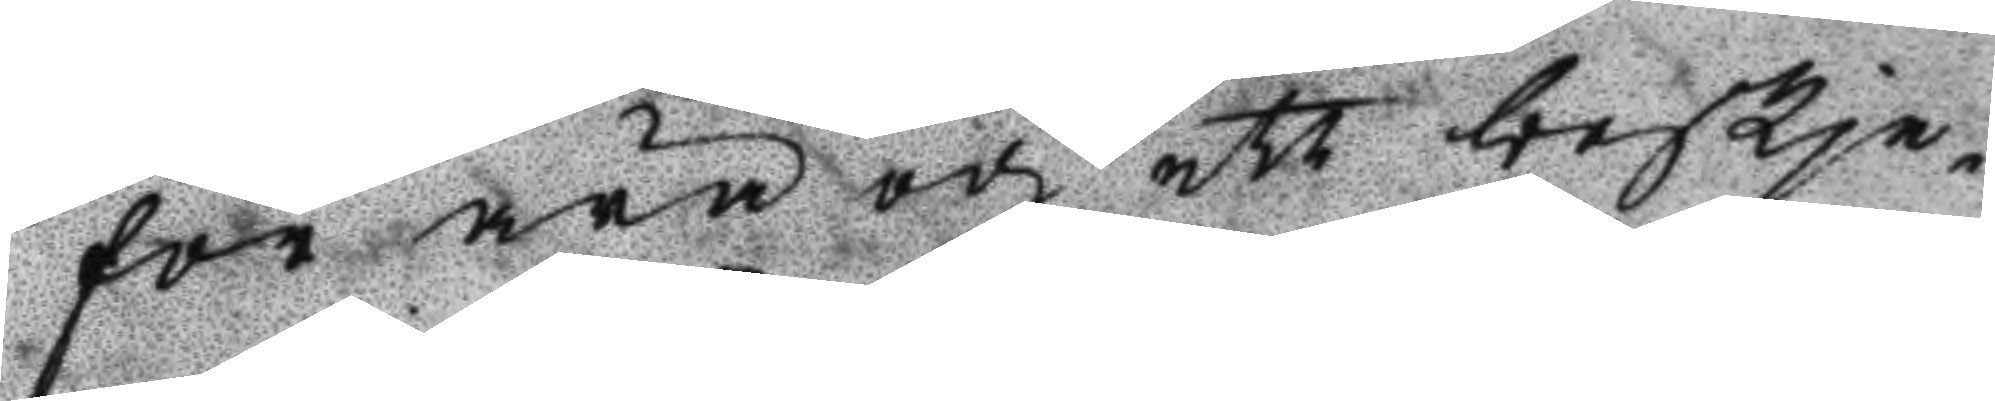för ära och ett beskje¬
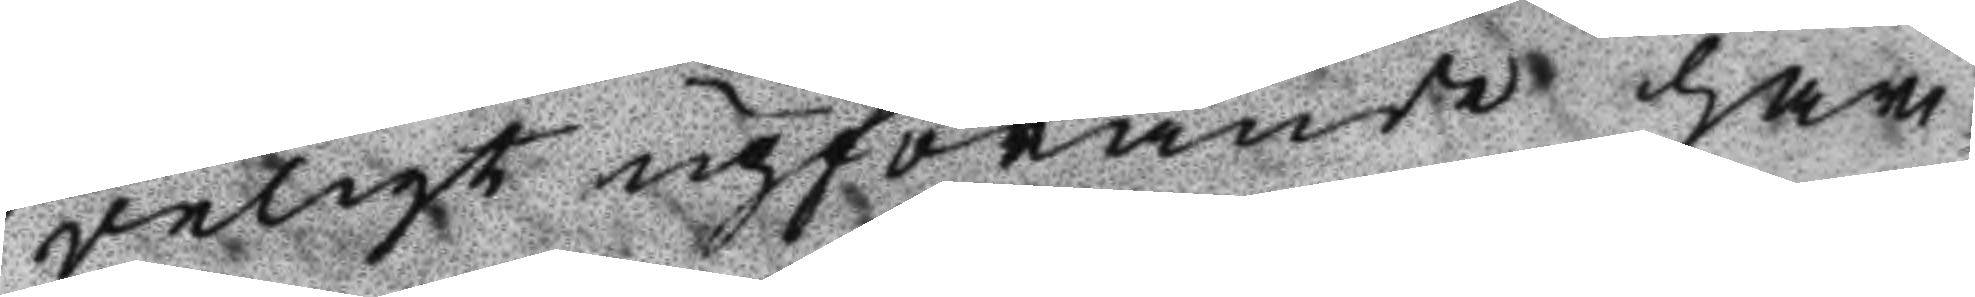deligt upförande har
